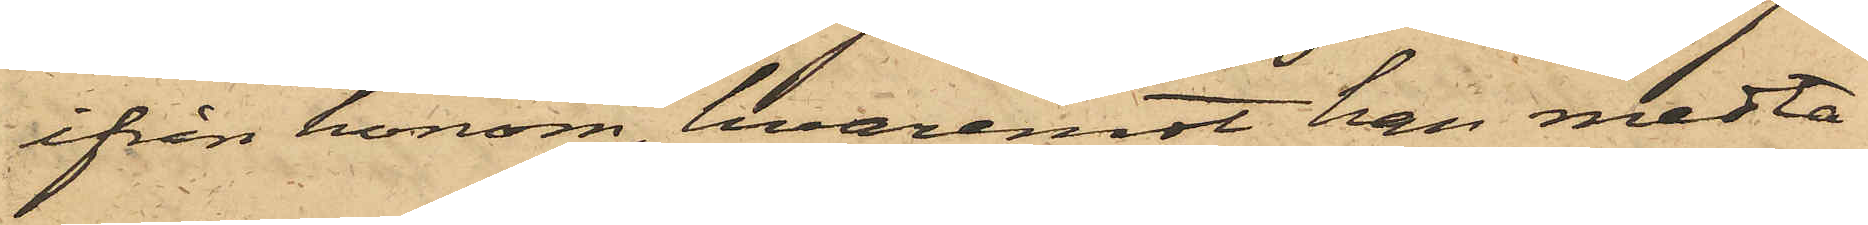ifrån honom, hvaremot han medta¬
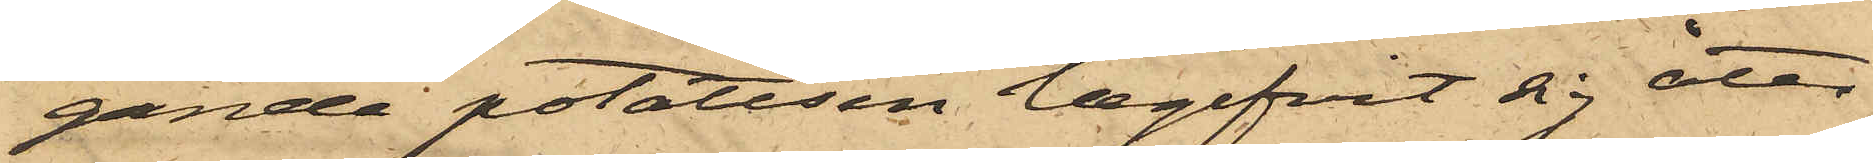gande potatisen begifvit sig åter
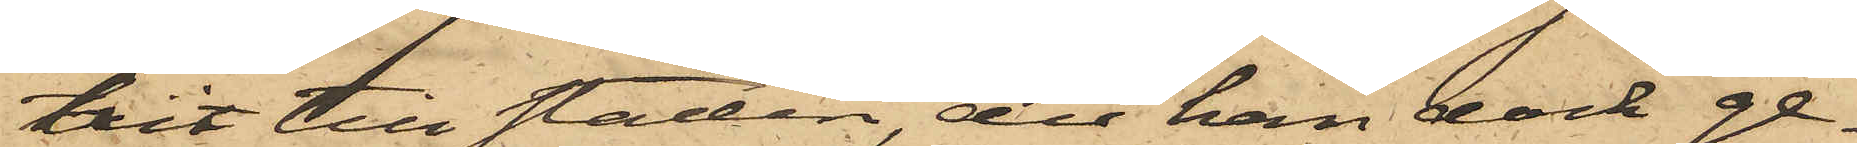hit till staden, der han dock ge¬
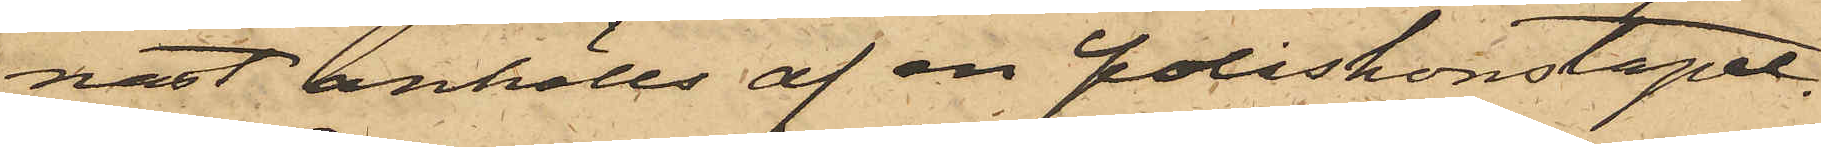nast anhölls af en poliskonstapel.
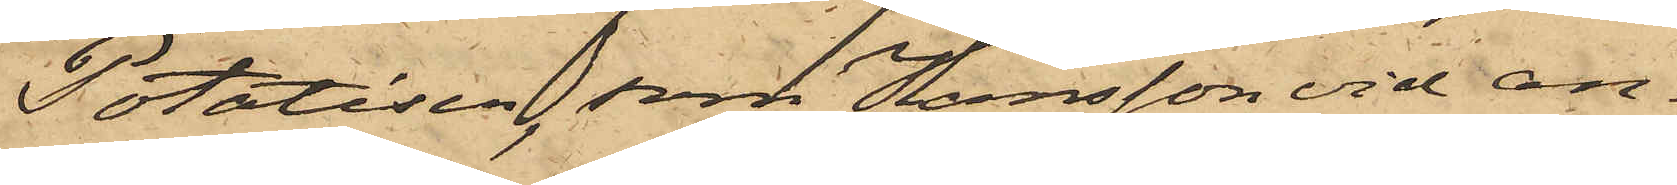Potatisen, som Hansson vid an¬
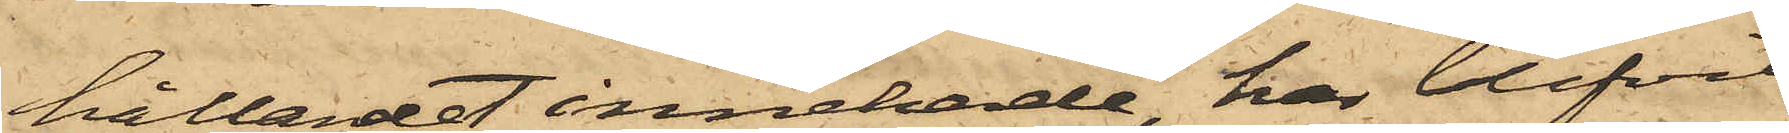hållandet innehade, har blifvit
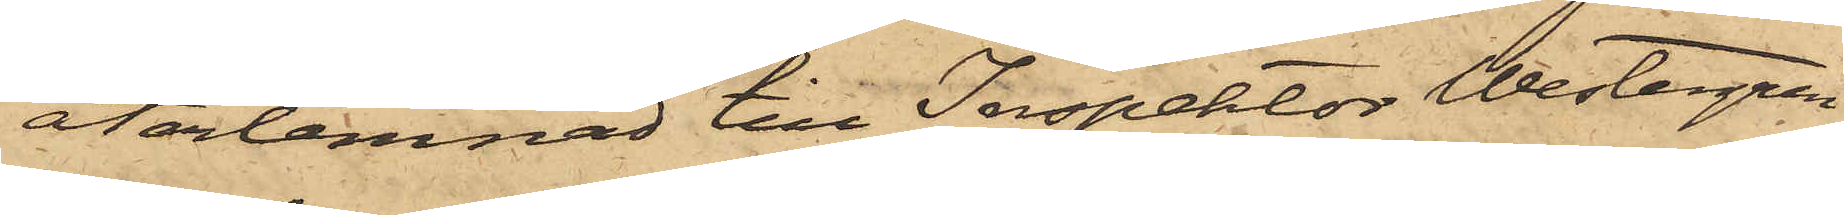återlemnad till Inspektor Westergren.
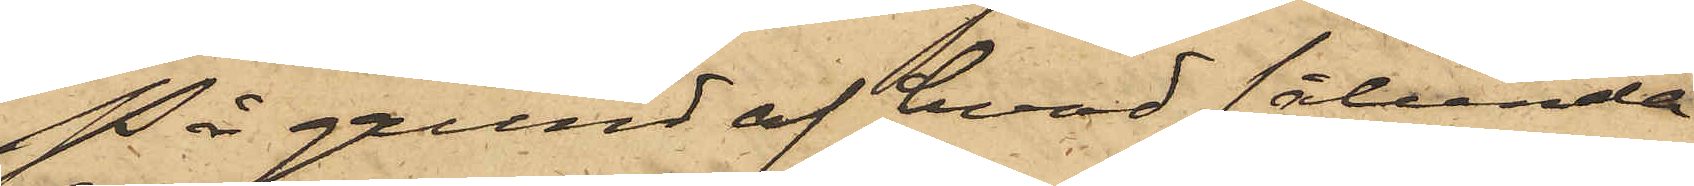På grund af hvad sålunda
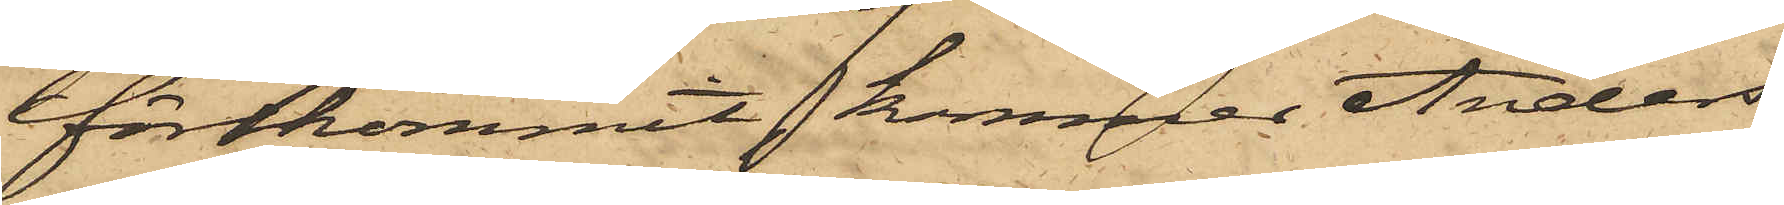förekommit, kommer Anders
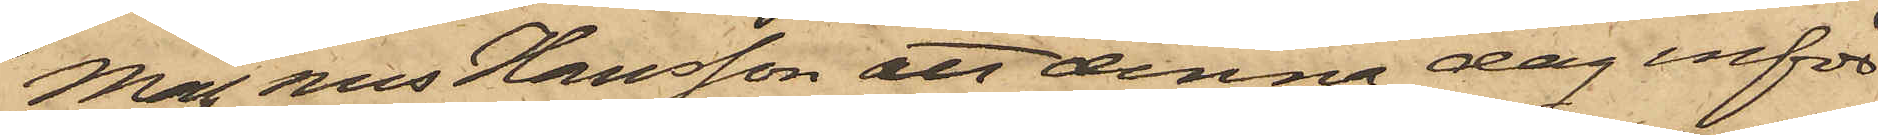Magnus Hansson att denna dag inför
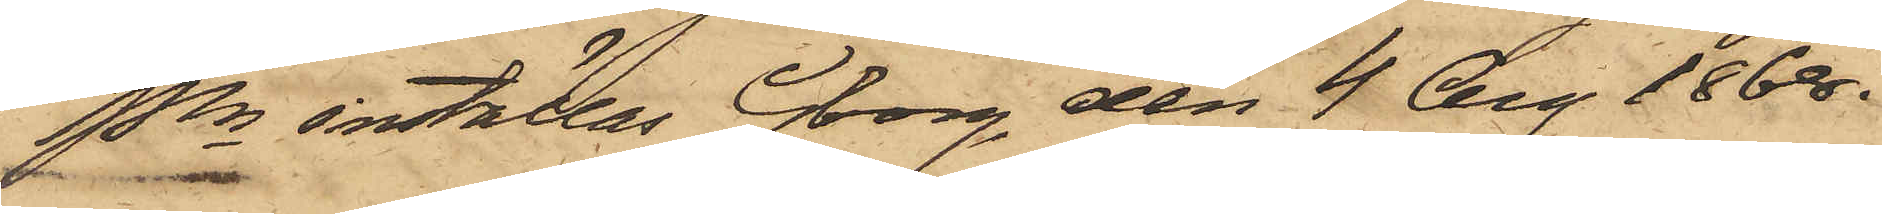Pkn inställas. Gborg den 4 Aug 1868.
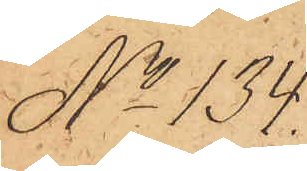No 134.
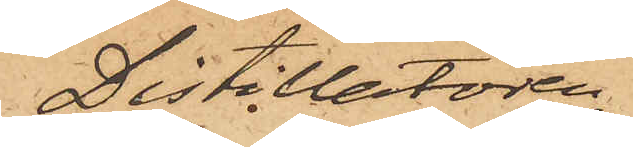Distillatören
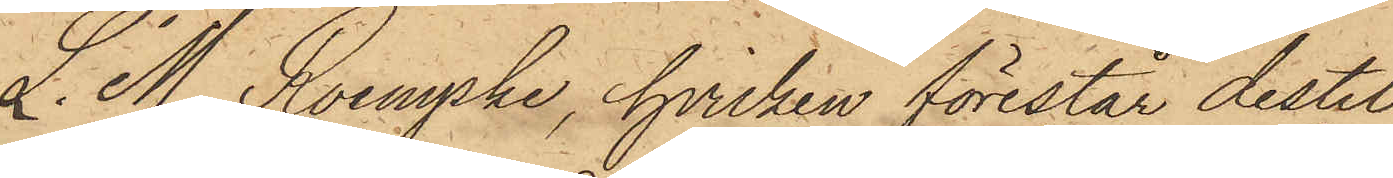L. M. Roempke, hvilken förestår destil¬
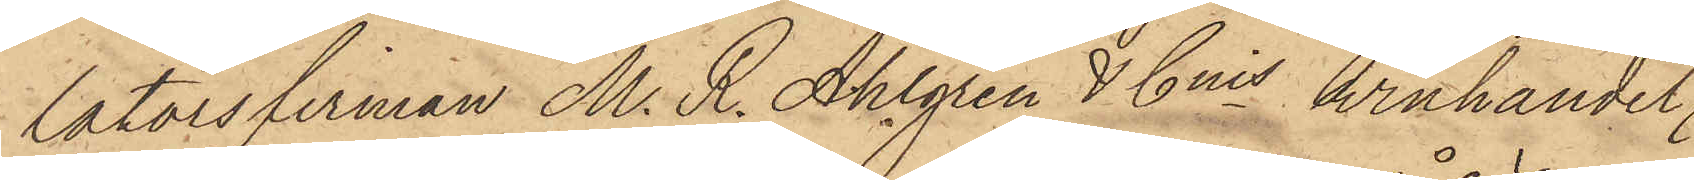latorsfirman M. R. Ahlgren & Cnis winhandel,
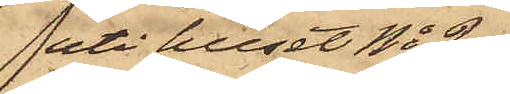uti huset No 2
